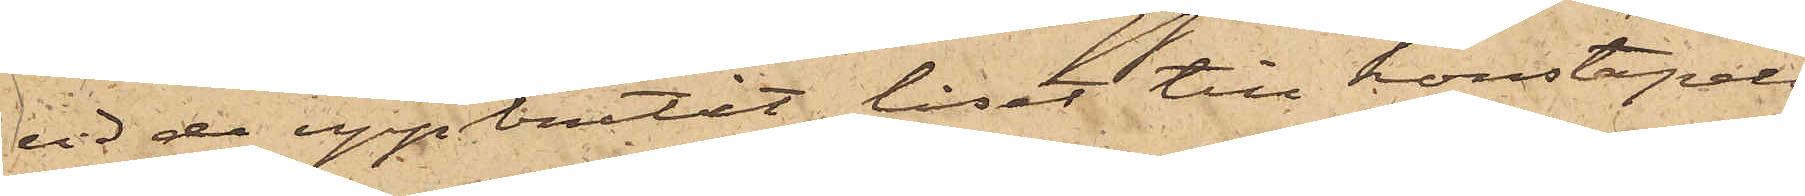vid de uppbrutit låset till konstapels¬
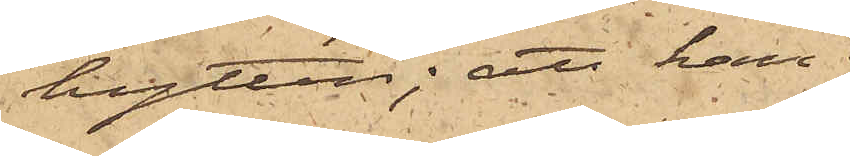hytten; att han
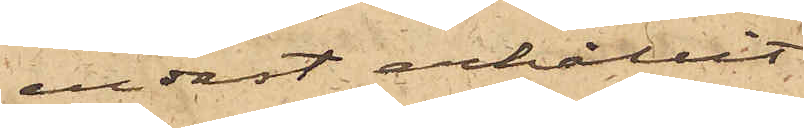endast erhållit
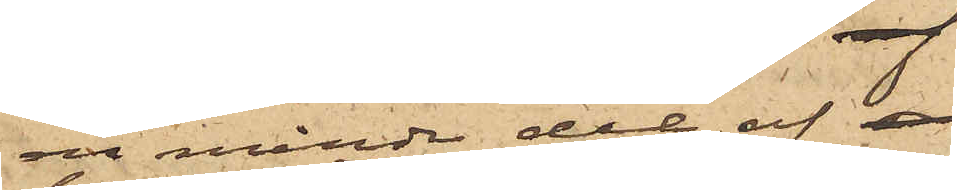en mindre del af 
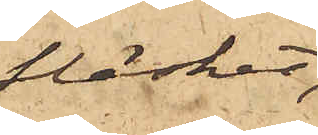fläsket,
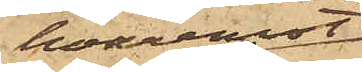hvaremot
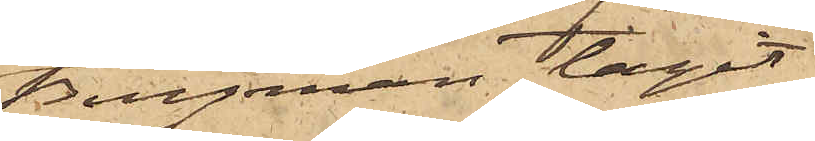Bergman tagit
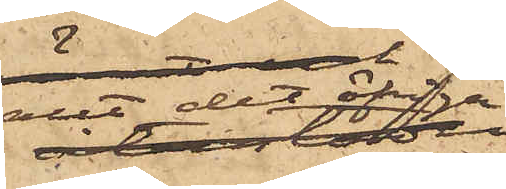allt det öfriga;
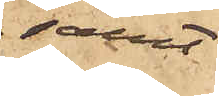samt
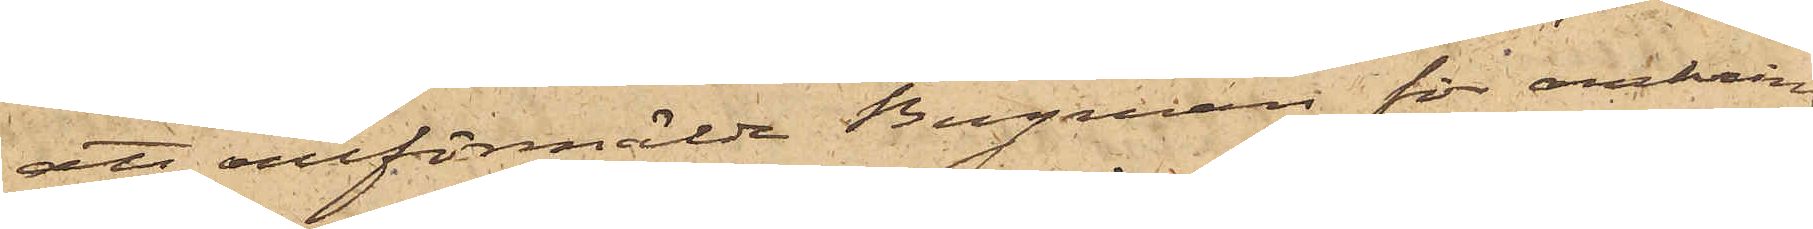att omförmälde Bergman för omkring
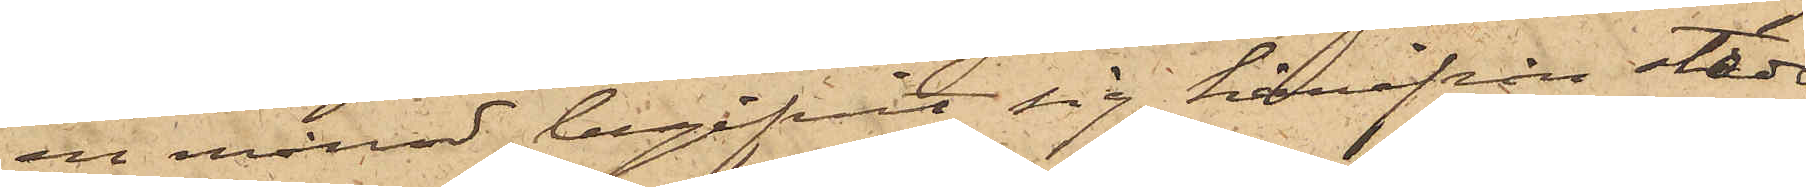en månad begifvit sig härifrån staden
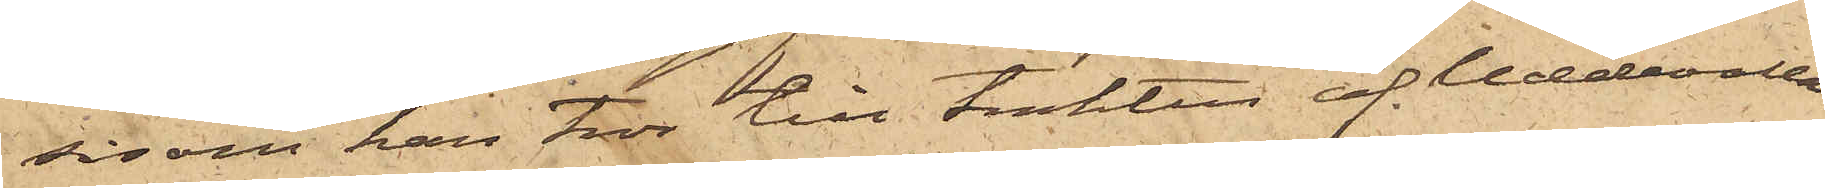såsom han tror till trakten af Uddevalla.
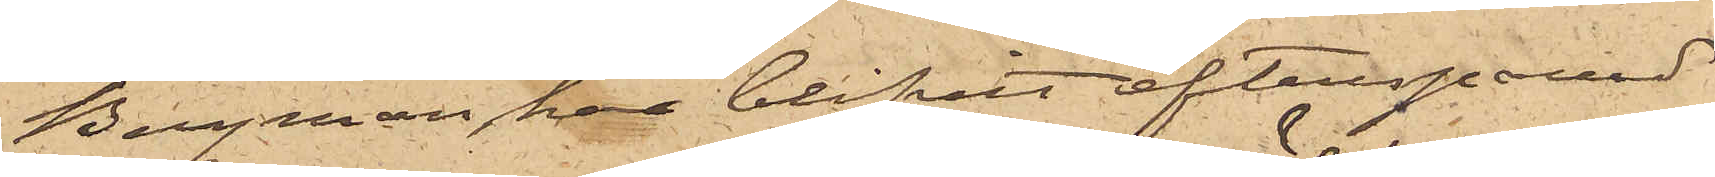Bergman har blifvit efterspanad
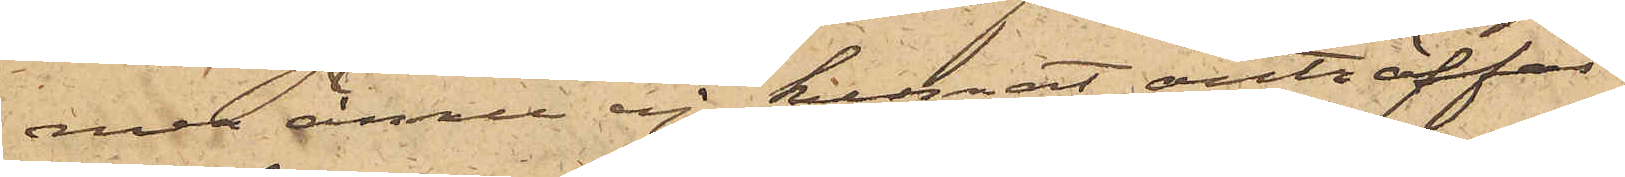men ännu ej kunnat anträffas.
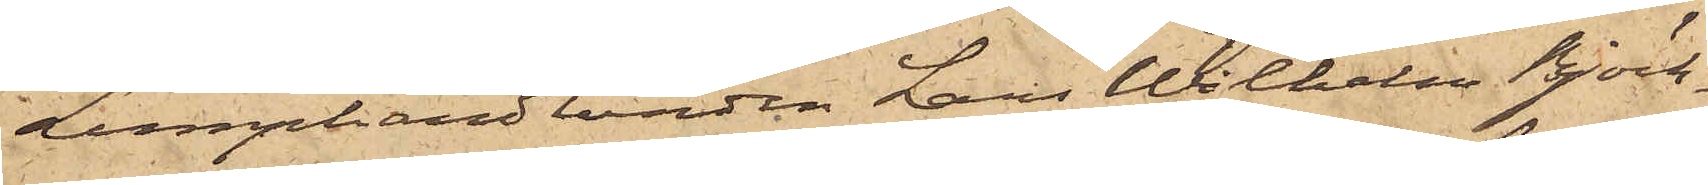Lumphandlanden Lars Wilhelm Björk¬
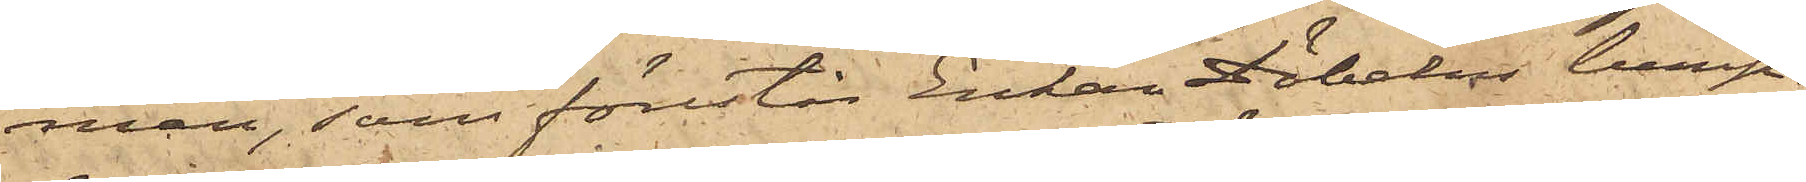man, som förestår Enkan Döbelns lump¬
